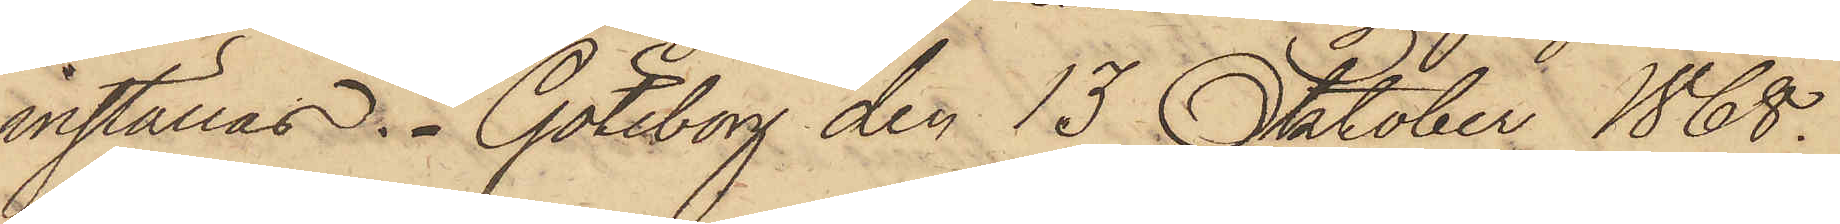inställas. Göteborg den 13 Oktober 1868.
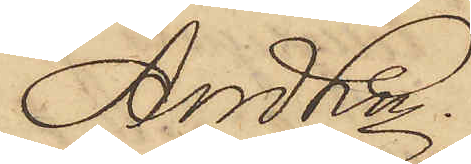And Ln.
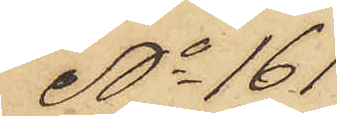No 161
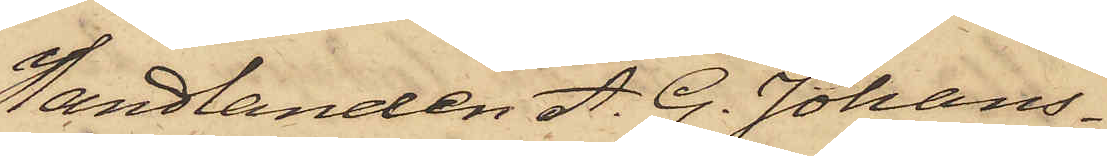Handlanden A. G. Johans¬
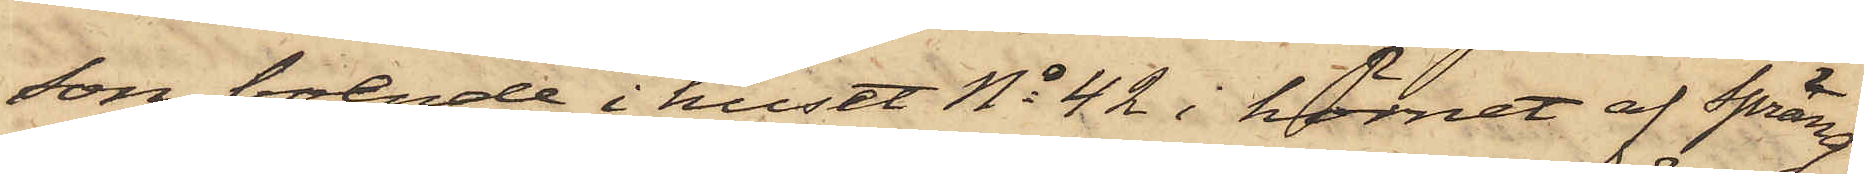son, boende i huset No 42 i hörnet af Spräng¬
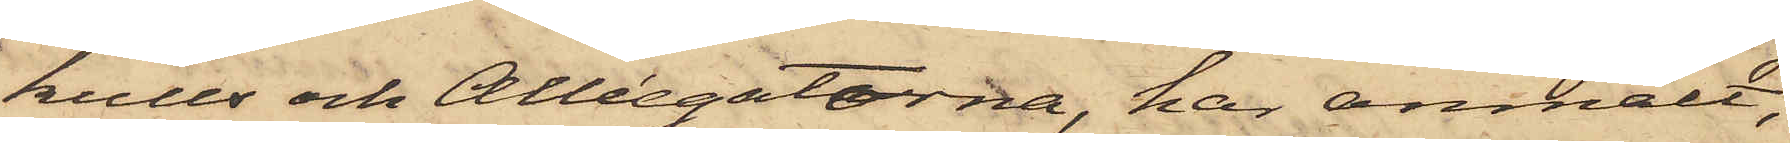kulls och Alléegatorna, har anmält,
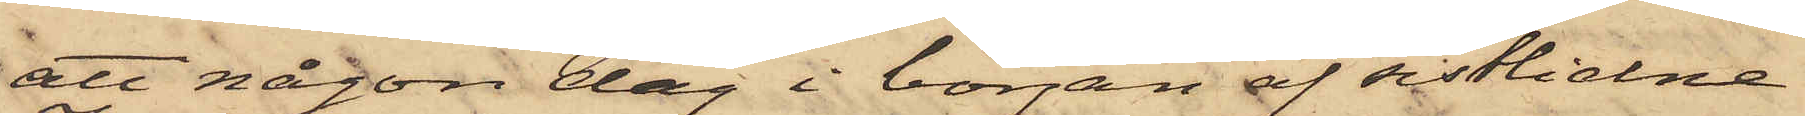att någon dag i början af sistlidne
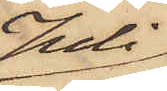Juli
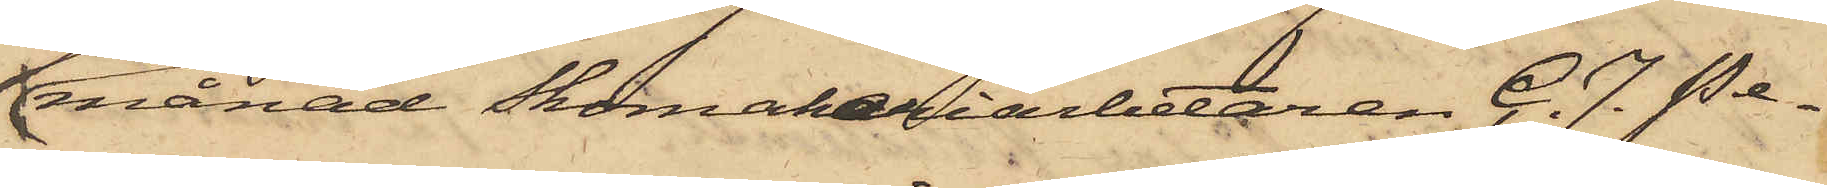månad Skomakariarbetaren C. J. Pe¬
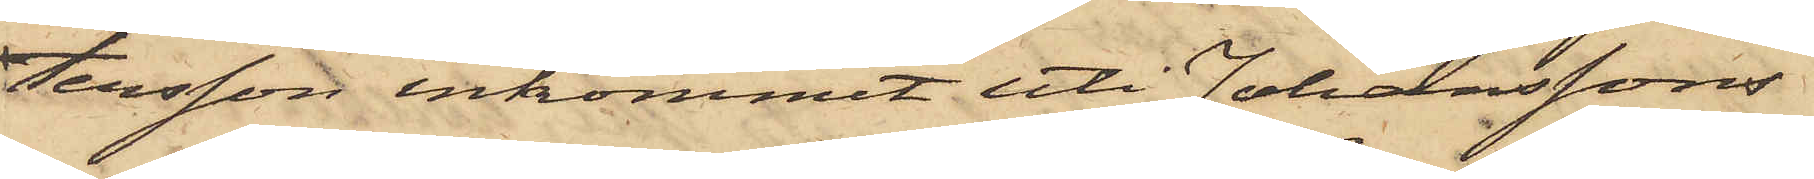tersson inkommit uti Johanssons
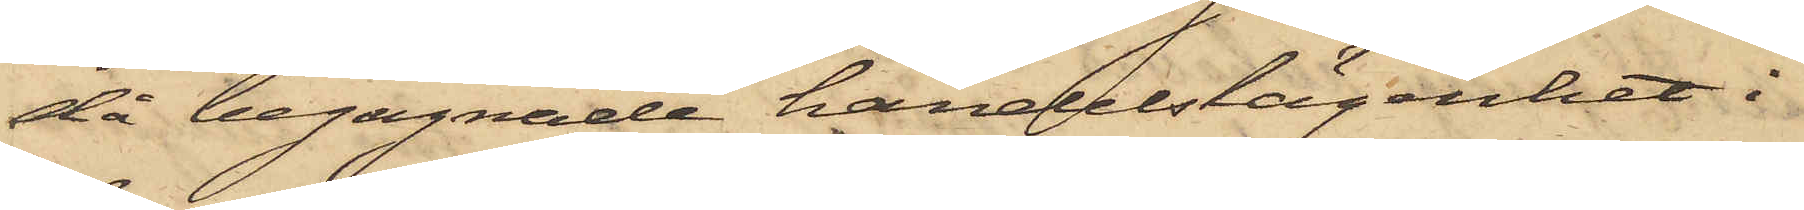då begagnade handelslägenhet i
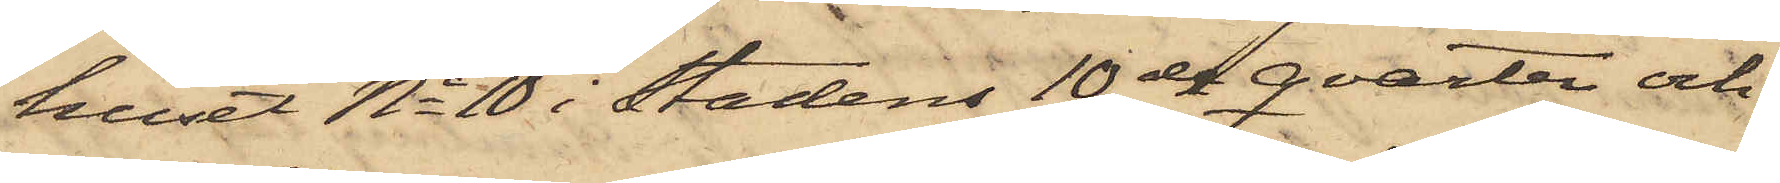huset No 10 i Stadens 10de qvarter och
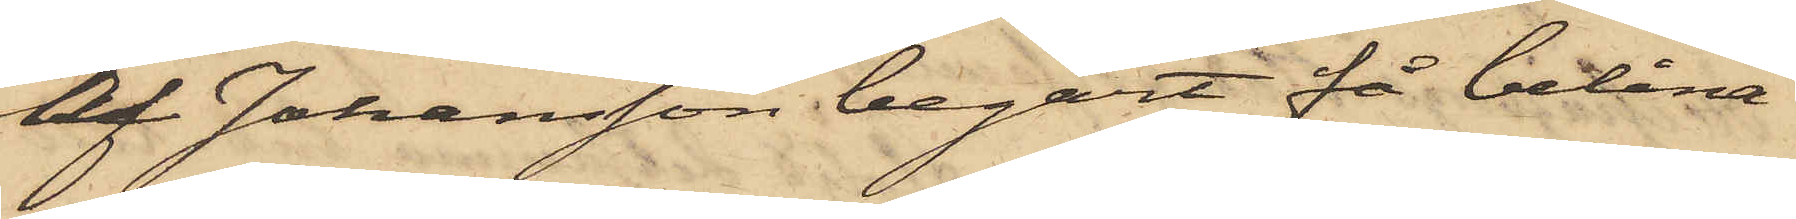af Johansson begärt få belåna
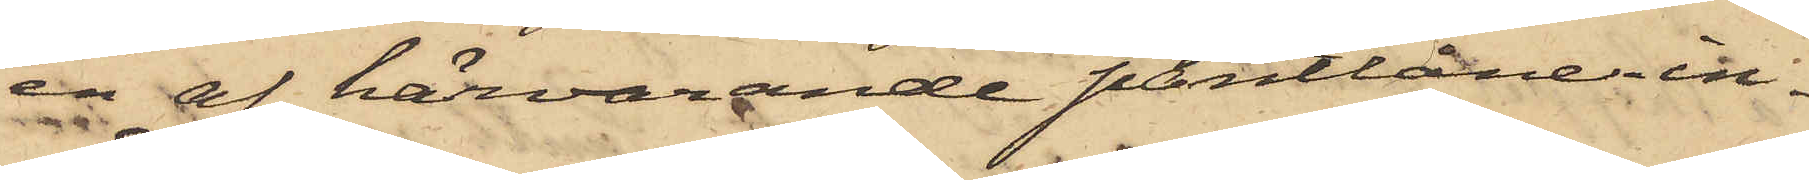en af härvarande pantlånein¬
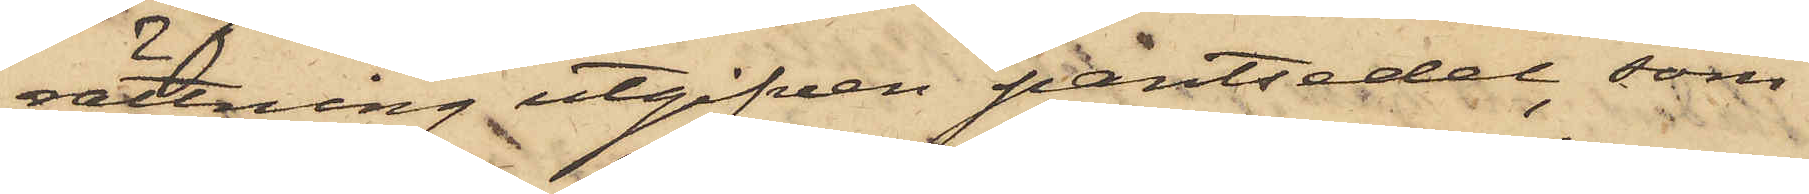rättning utgifven pantsedel, som
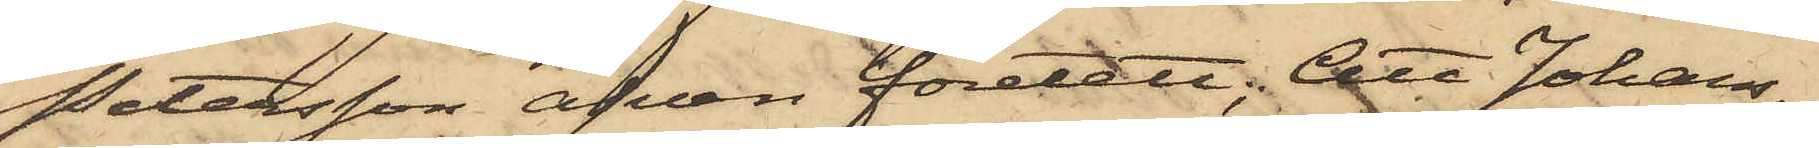Petersson äfven företett; Att Johans¬
